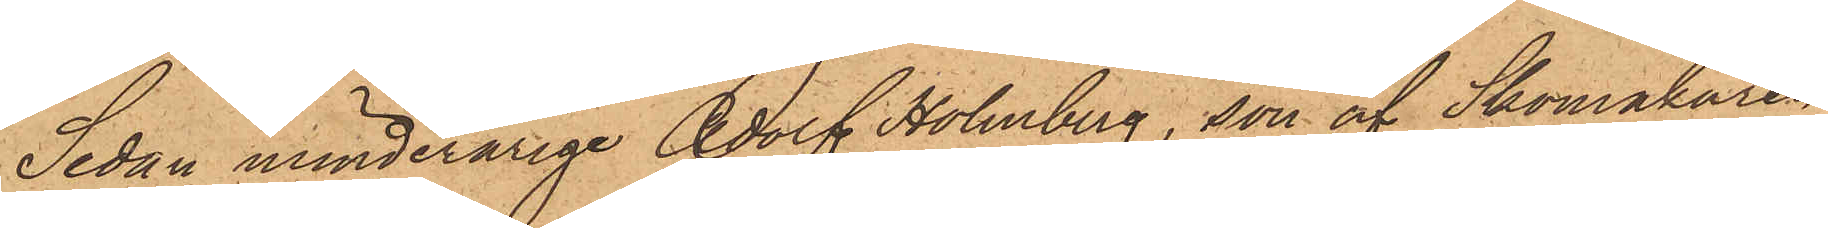Sedan minderårige Adolf Holmberg, son af Skomakaren
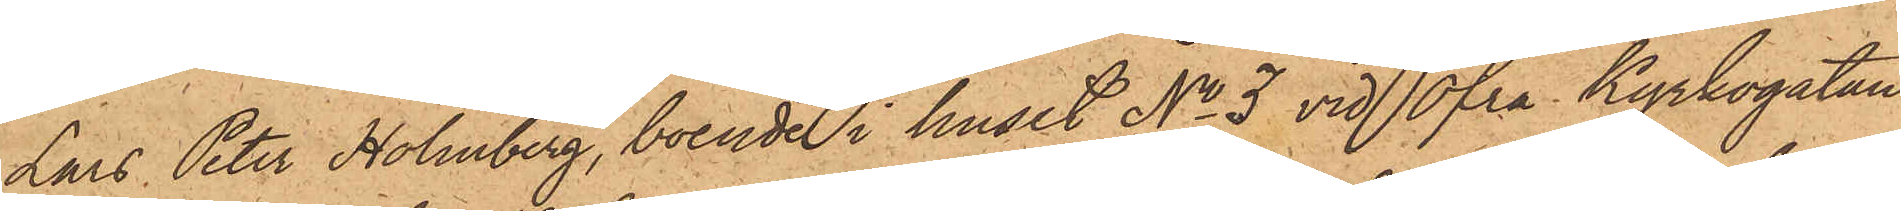Lars Peter Holmberg, boende i huset No 3 vid Öfra Kyrkogatan,
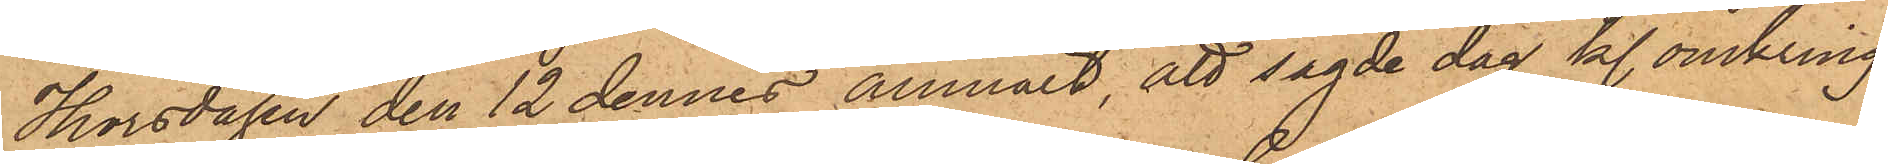Thorsdagen den 12 dennes anmält, att sagde dag kl. omkring
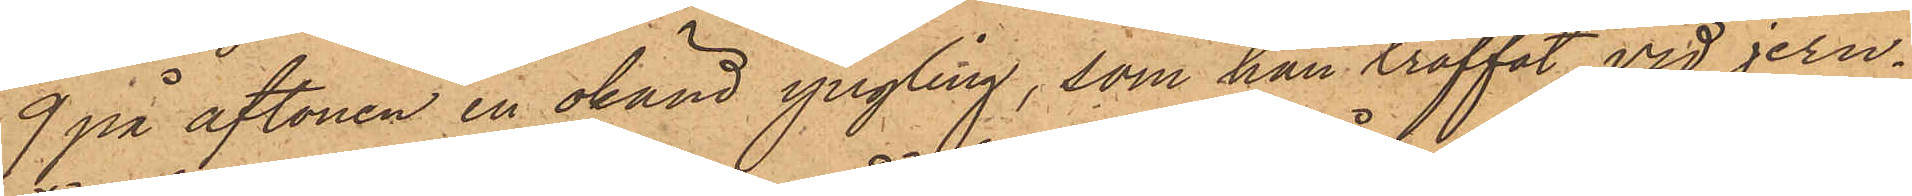9 på aftonen en okänd yngling, som han träffat vid jern¬
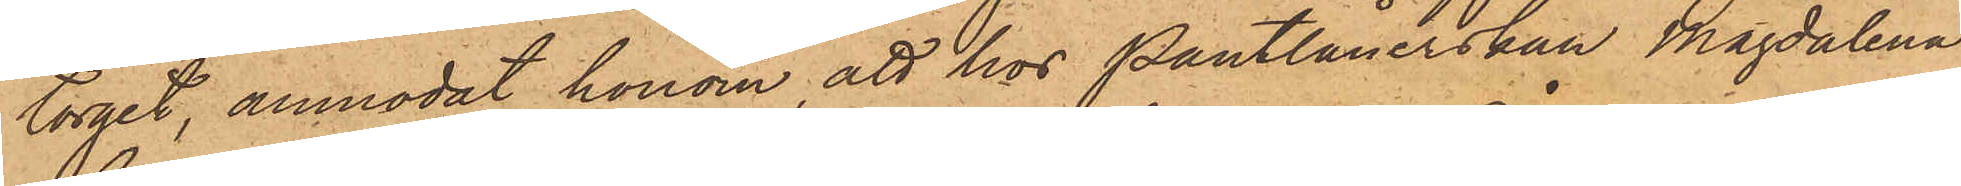torget, anmodat honom att hos Pantlånerskan Magdalena
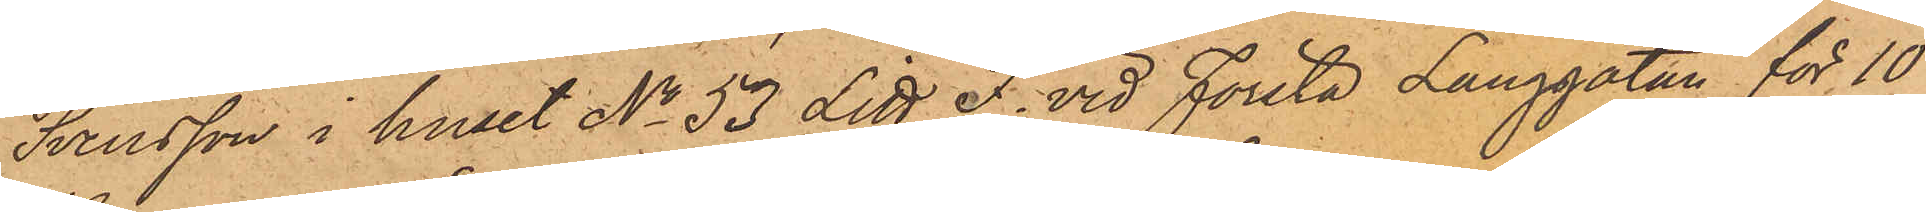Svensson i huset No 53 Litt F. vid Första Långgatan för 10
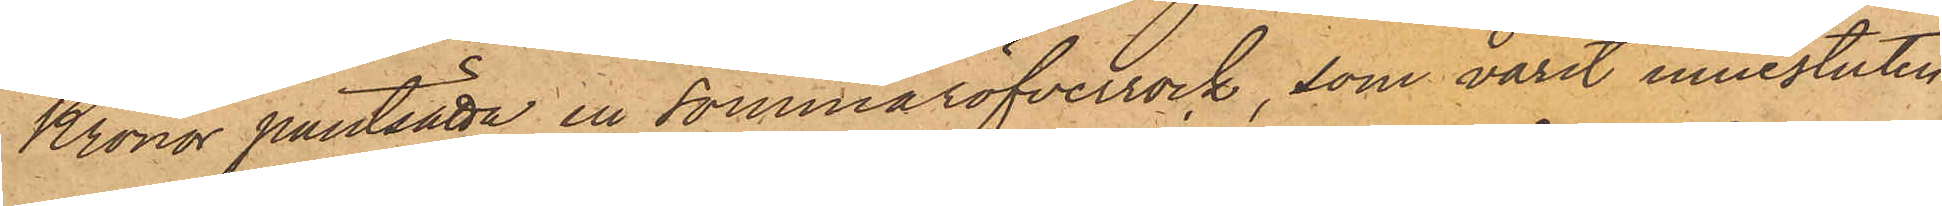Kronor pantsätta en sommaröfverrock, som varit innesluten
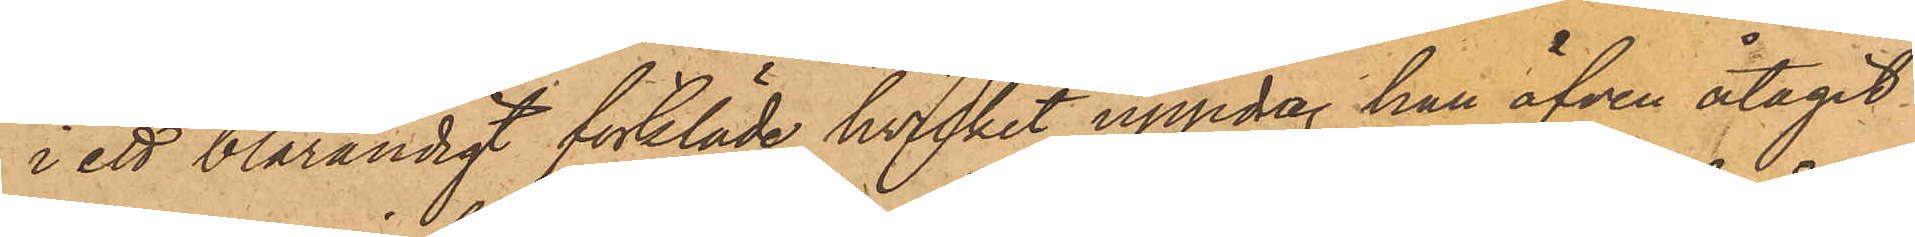i ett blårandigt förkläde, hvilket uppdrag han äfven åtagit
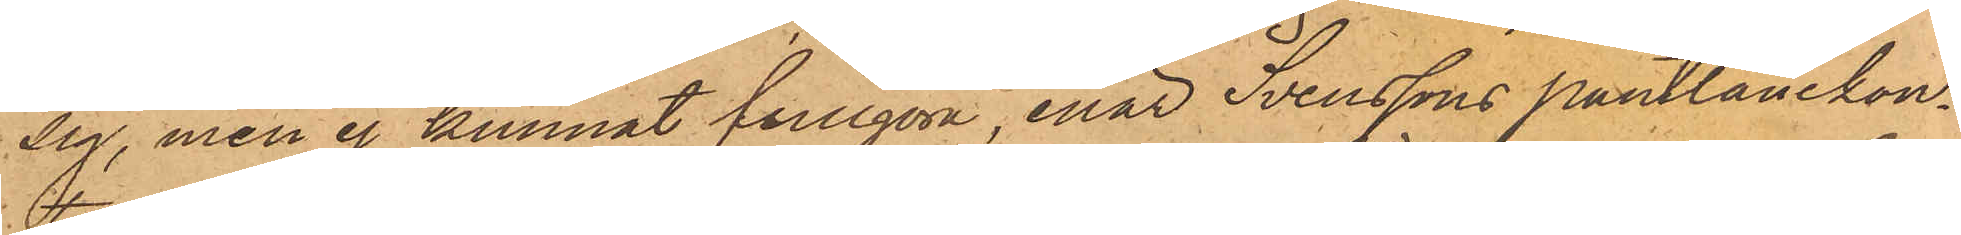sig, men ej kunnat fullgöra, enär Svenssons pantlånekon¬
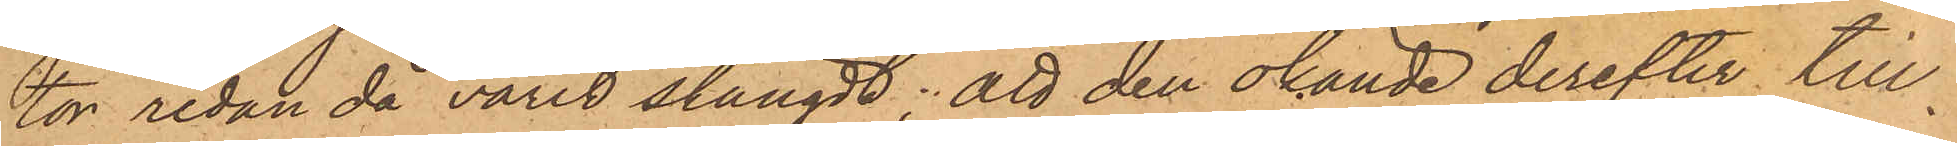tor sedan då varit stängdt; att den okände derefter till¬
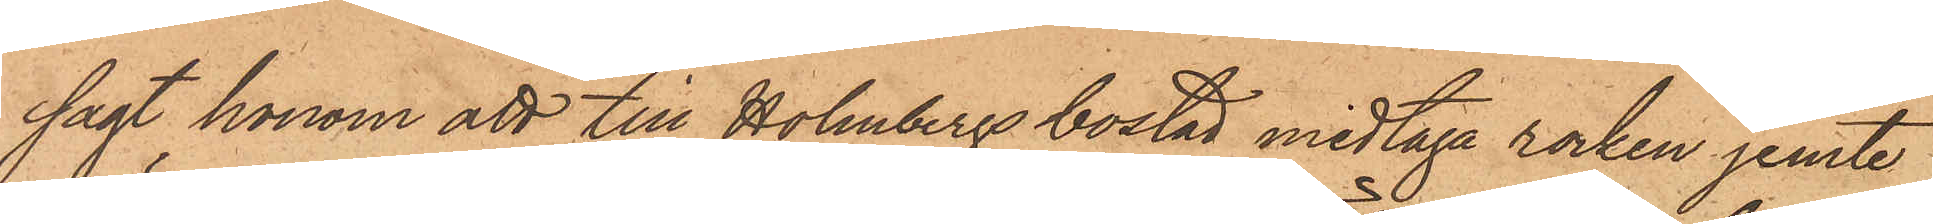sagt honom att till Holmbergs bostad medtaga rocken jemte
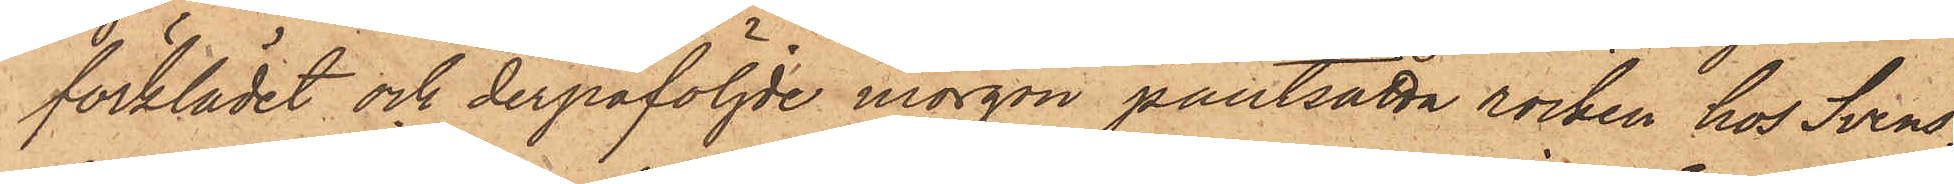förklädet och derpåföljde morgon pantsätta rocken hos Svens¬
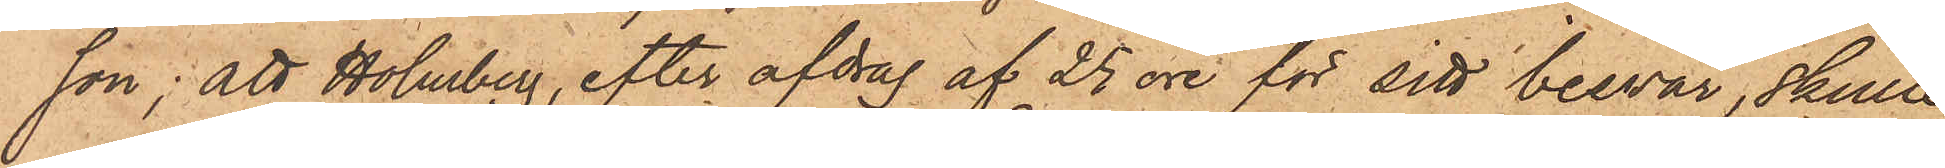son; att Holmberg, efter afdrag af 25 öre för sitt besvär, skulle
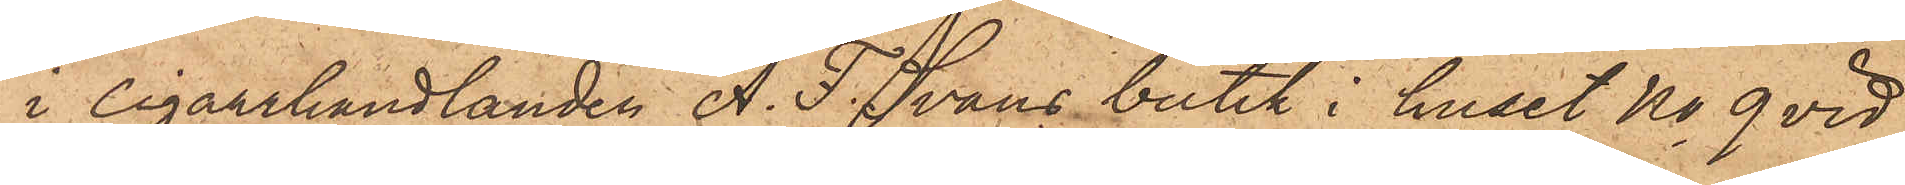i Cigarrhandlanden A. F. Svans butik i huset No 9 vid
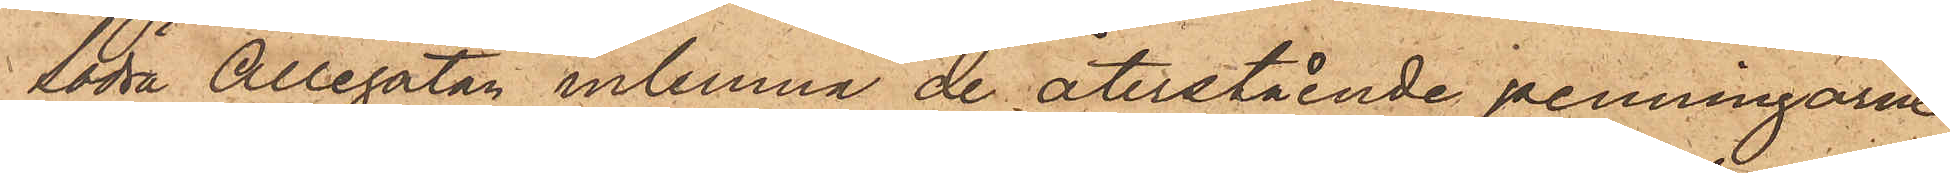Södra Allégatan infinna de återstående penningarne
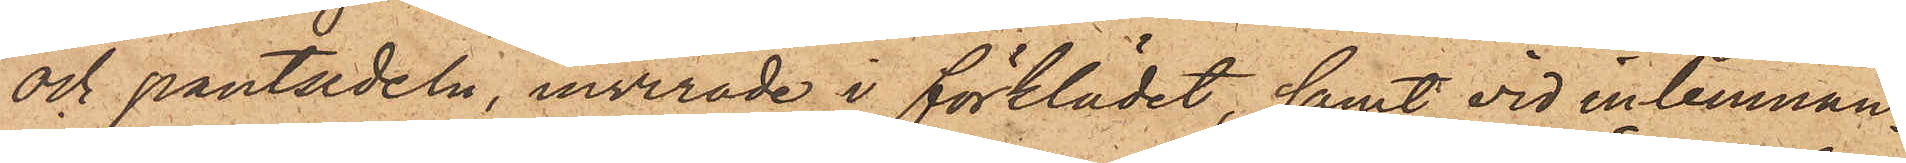och pantsedeln, invirade i förklädet, samt vid inlemnan¬
